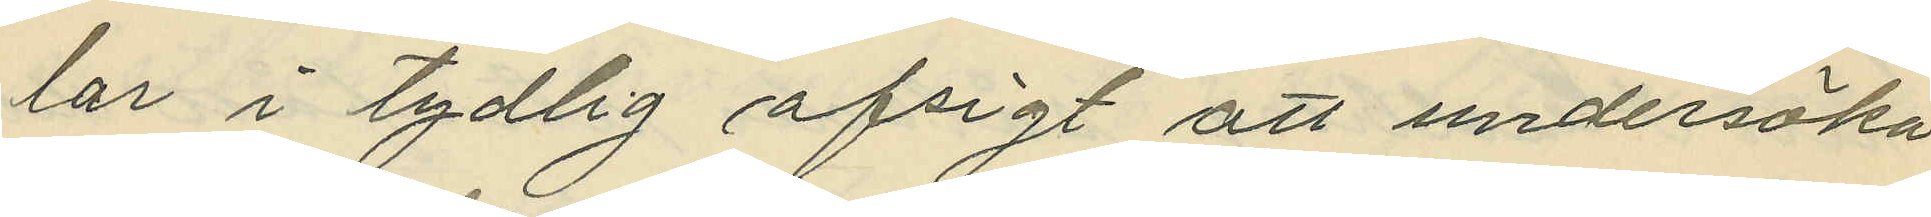lar i tydlig afsigt att undersöka
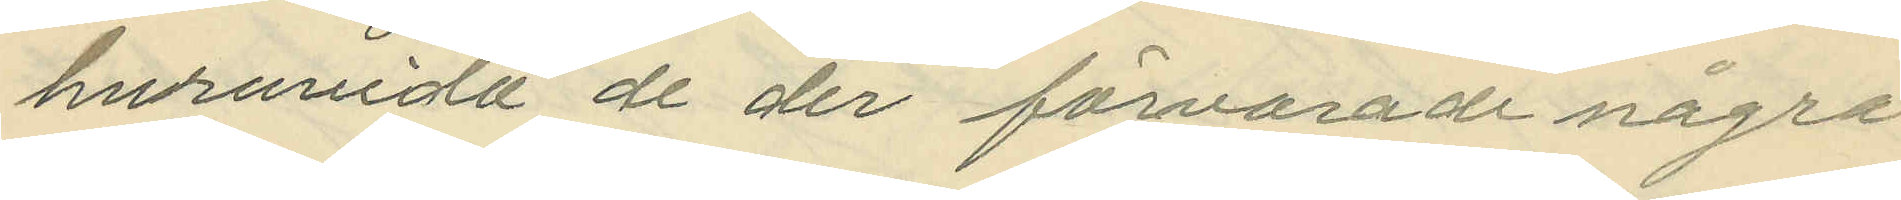huruvida de der förvarade några
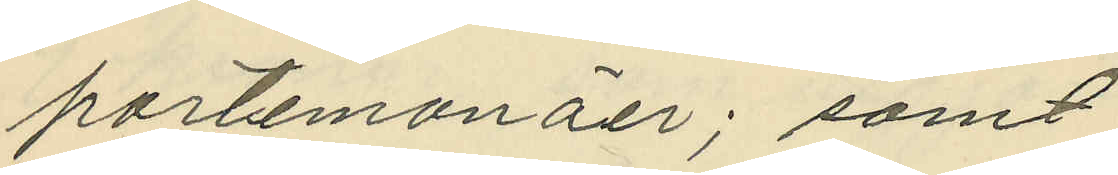portemonäer; samt
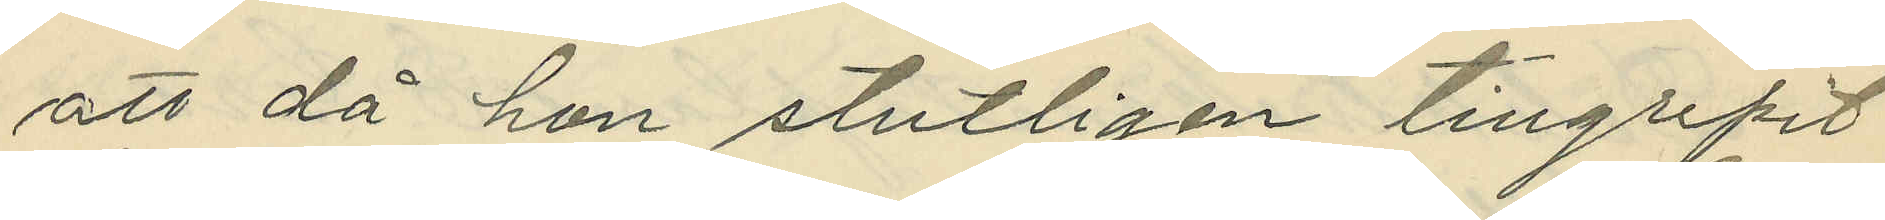att då hon stutligen tillgripit
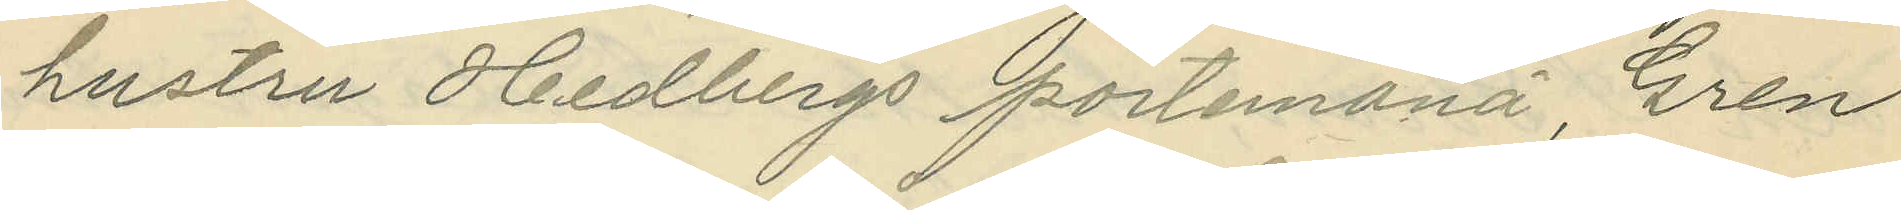hustru Hedbergs portemonä, Gren
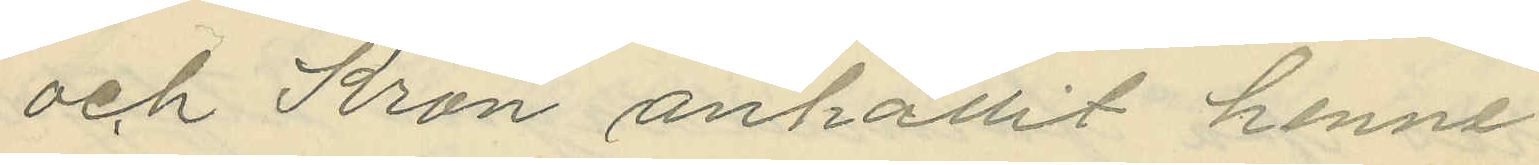och Kron anhållit henne.
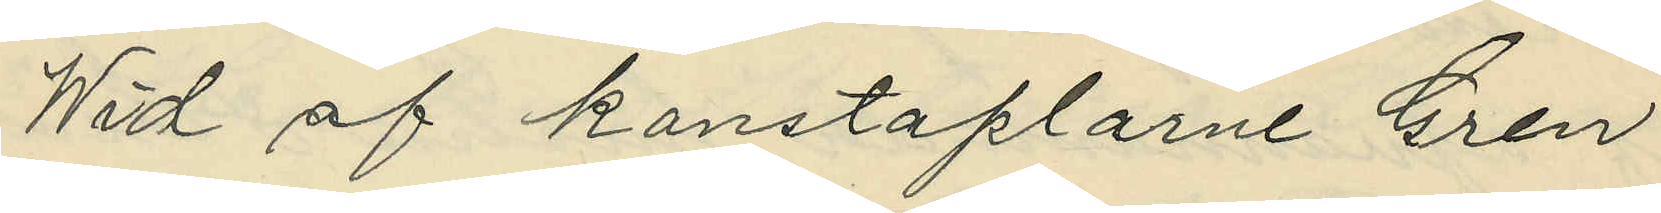Wid af konstaplarne Gren
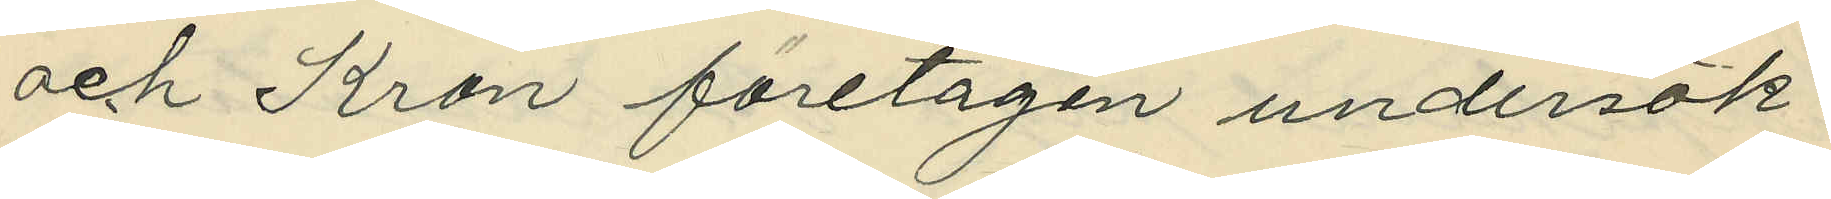och Kron företagen undersök¬
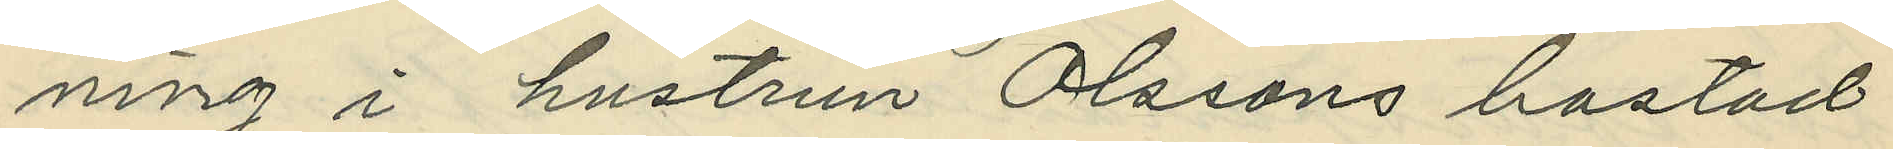ning i hustrun Olssons bostad
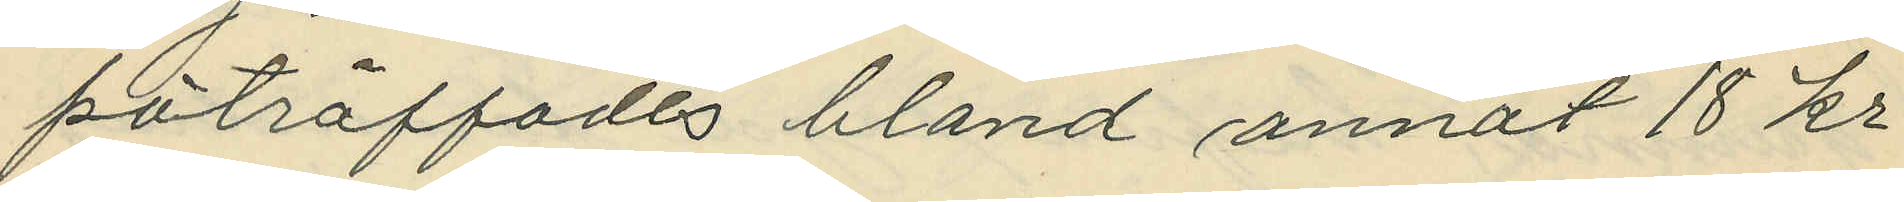påträffades bland annat 18 kr
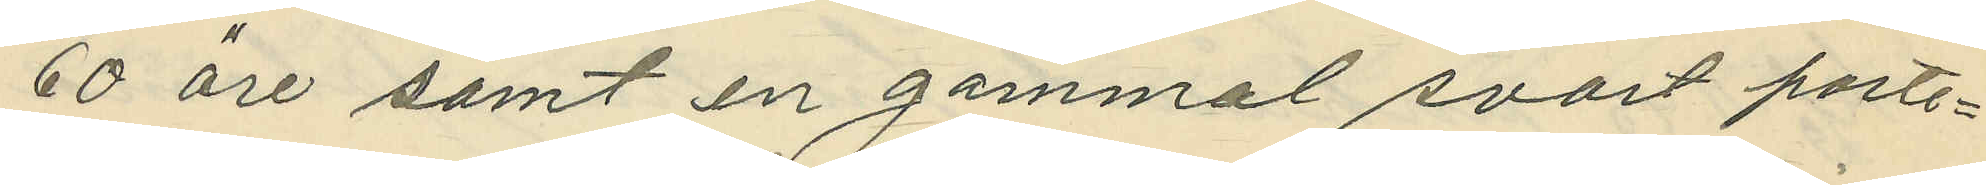60 öre samt en gammal svart porte¬
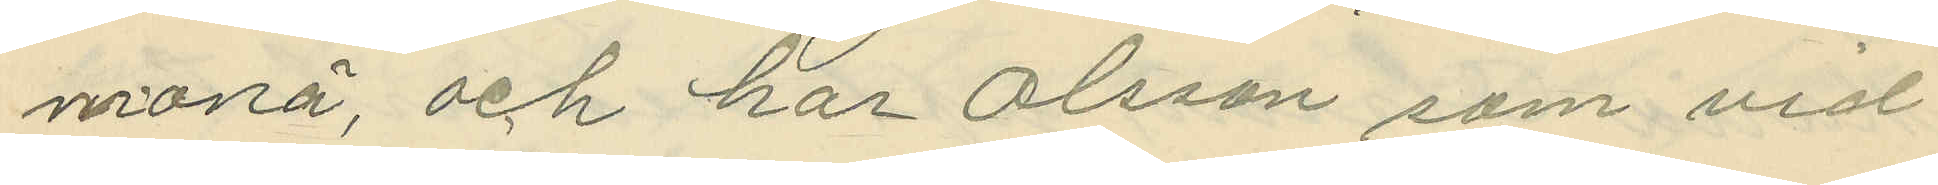monä, och har Olsson som vid
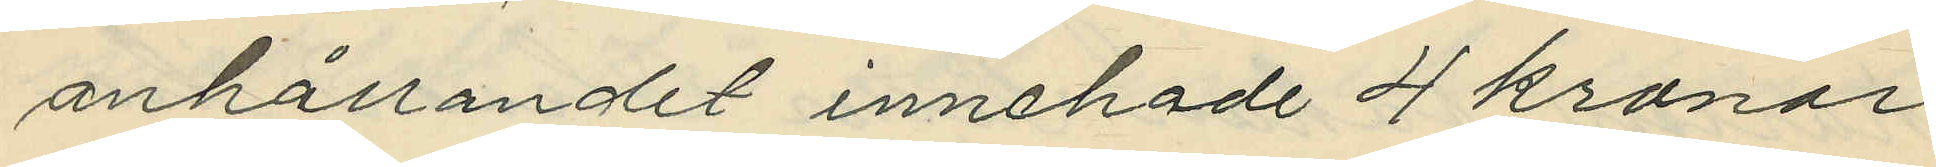anhållandet innehade 4 kronor
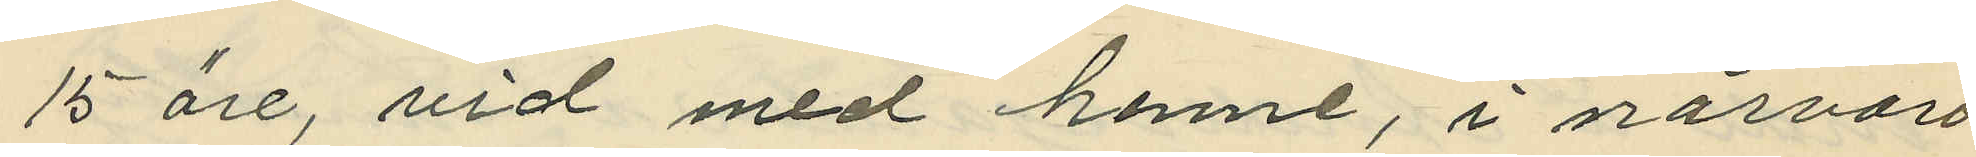15 öre, vid med henne, i närvaro
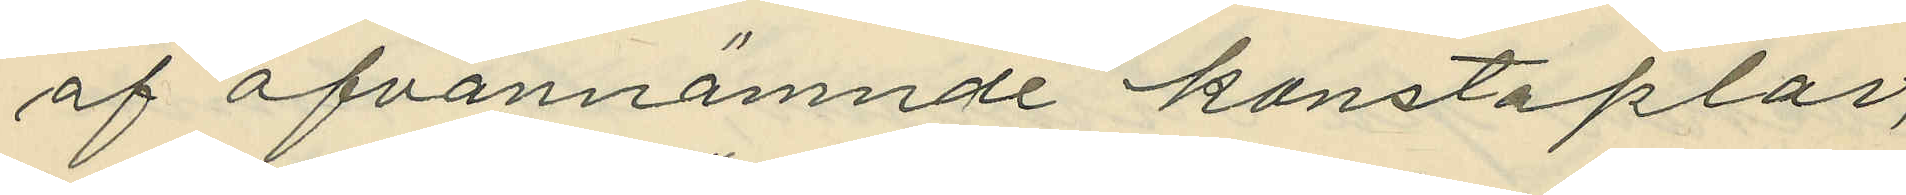af ofvannämnde konstaplar,
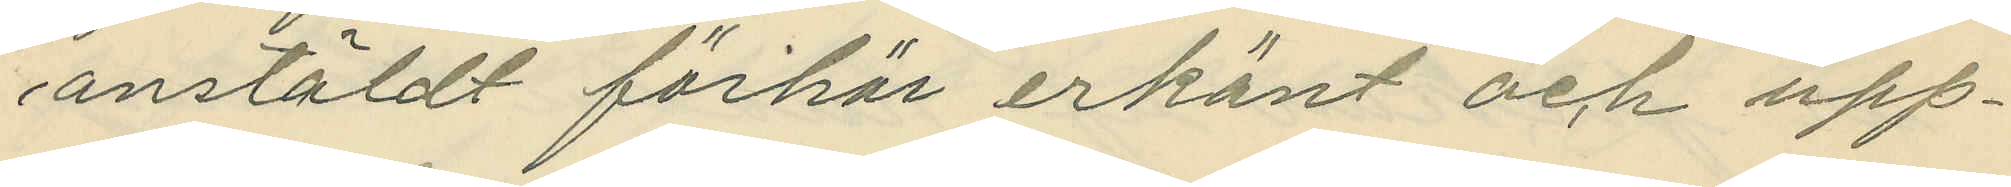anstäldt förhör erkänt och upp¬
